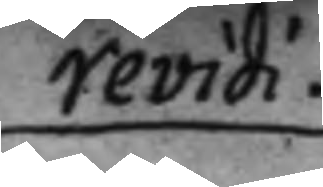revidi.
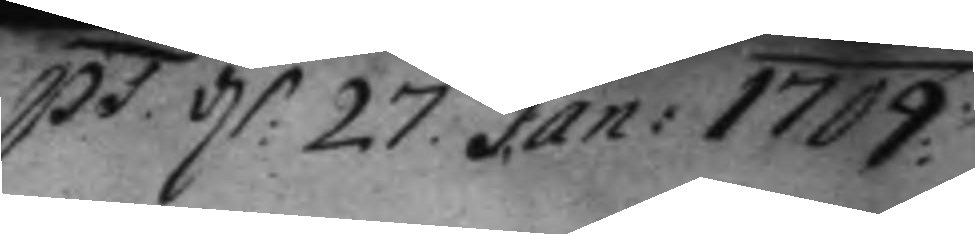pt. d: 27. Jan: 1709
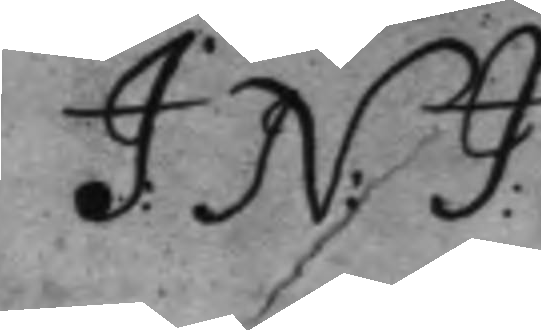J: N: G:
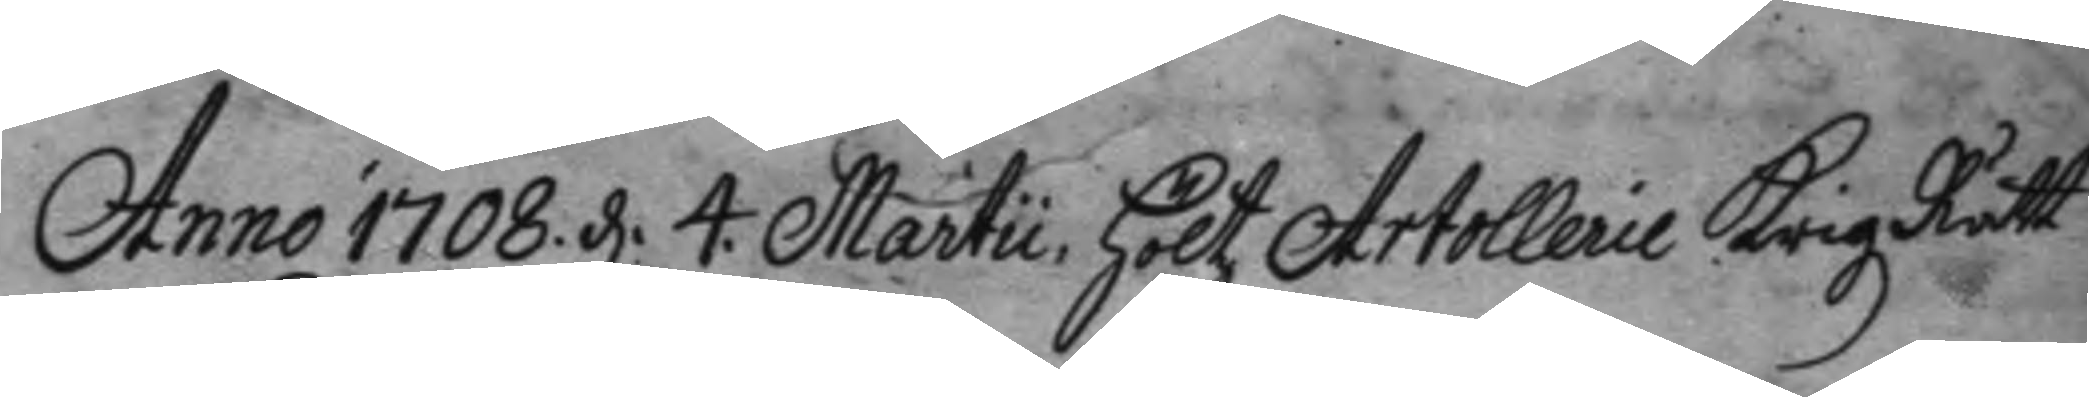Anno 1708 d. 4. Martii, höltz Artollerie Krigz Rätt
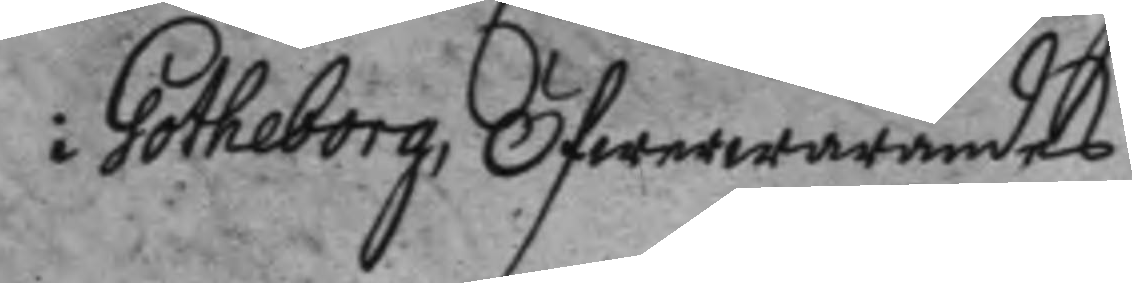i Gotheborg, Öfwerwarandes
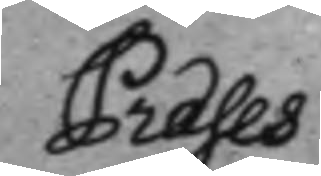Præses
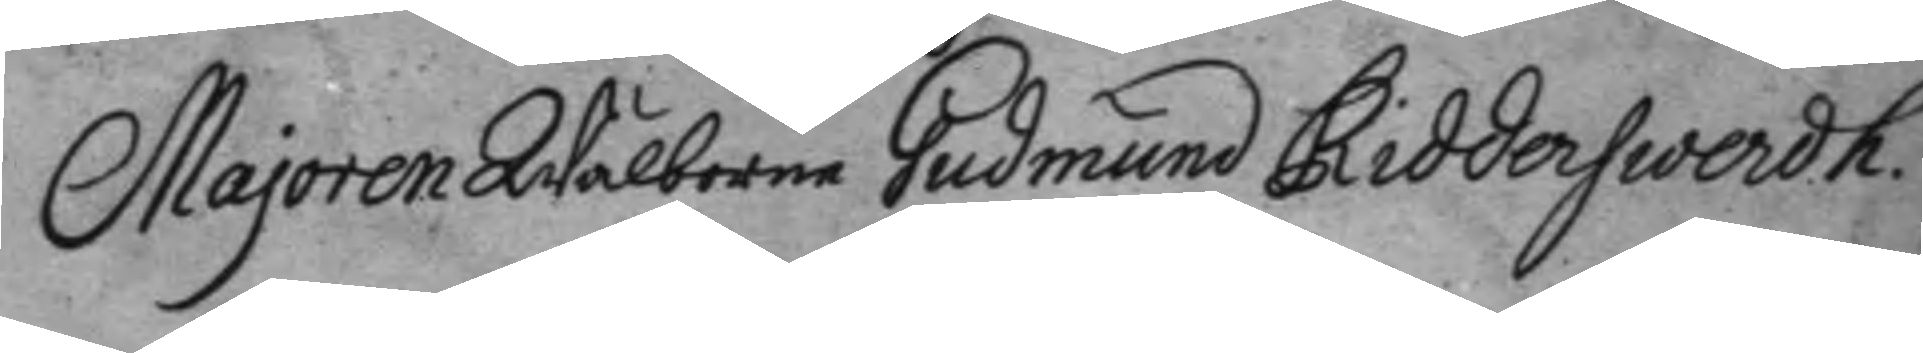Majoren Wälborne Gudmund Ridderswerdh.
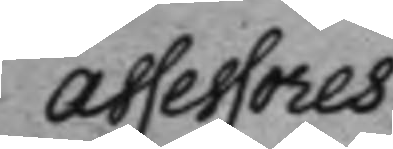assessores
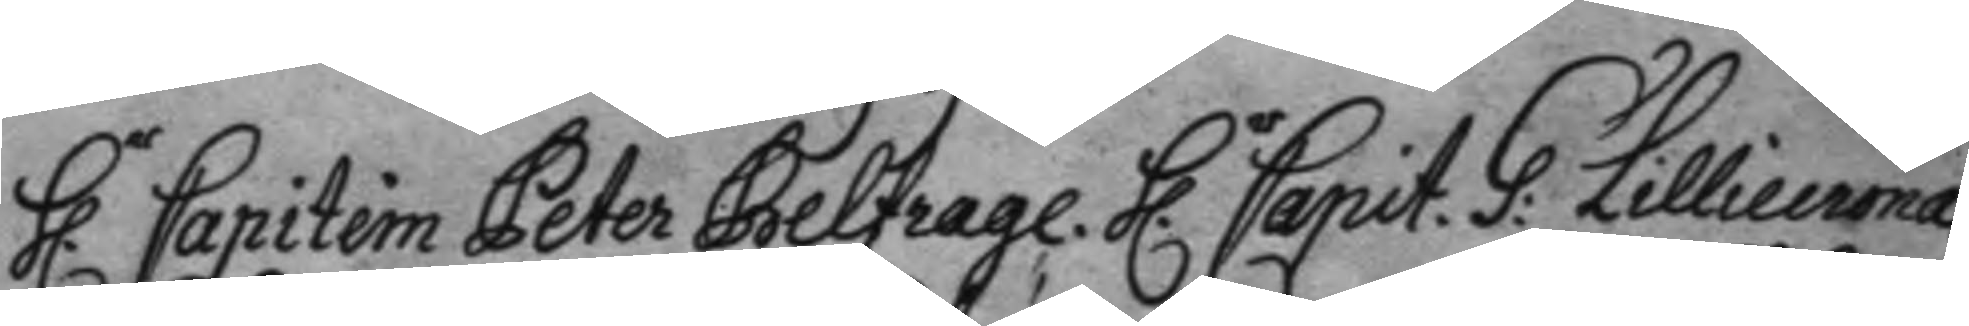h.r Capitein Peter Belfrage. h.r Capit. G: Lilliecrona.
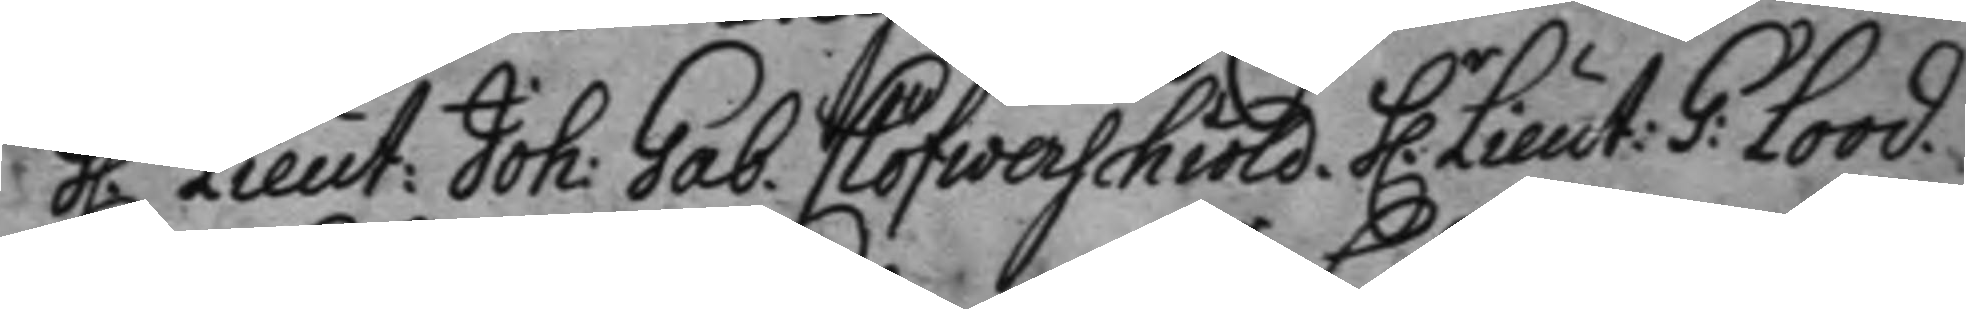h.r Lieut: Joh: Gab. Clöfweschöld. h.r Lieut: G: Lood.
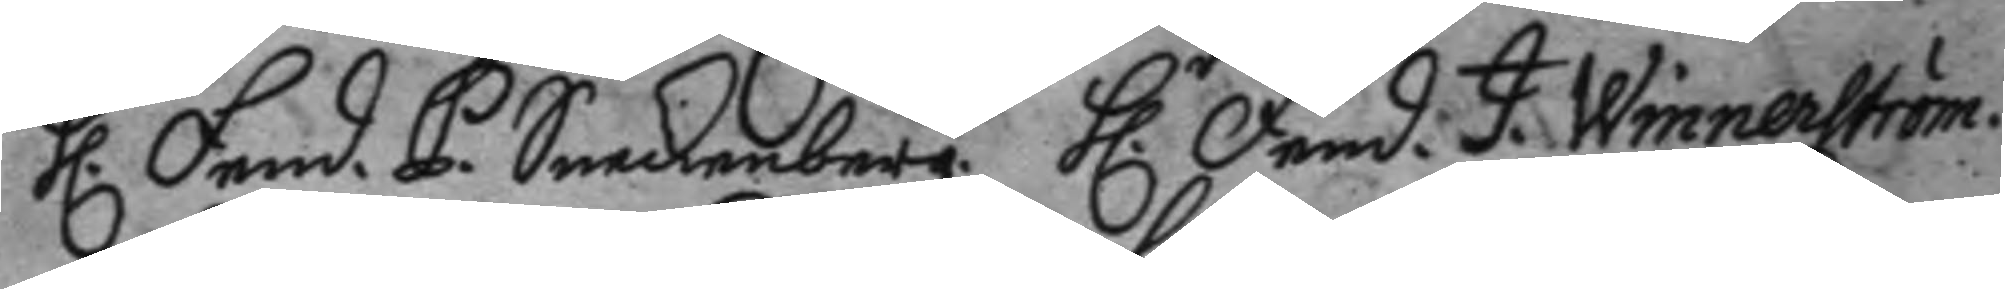h.r Fend. P. Sneckenberg. h.r Fend. J. Winnerström.
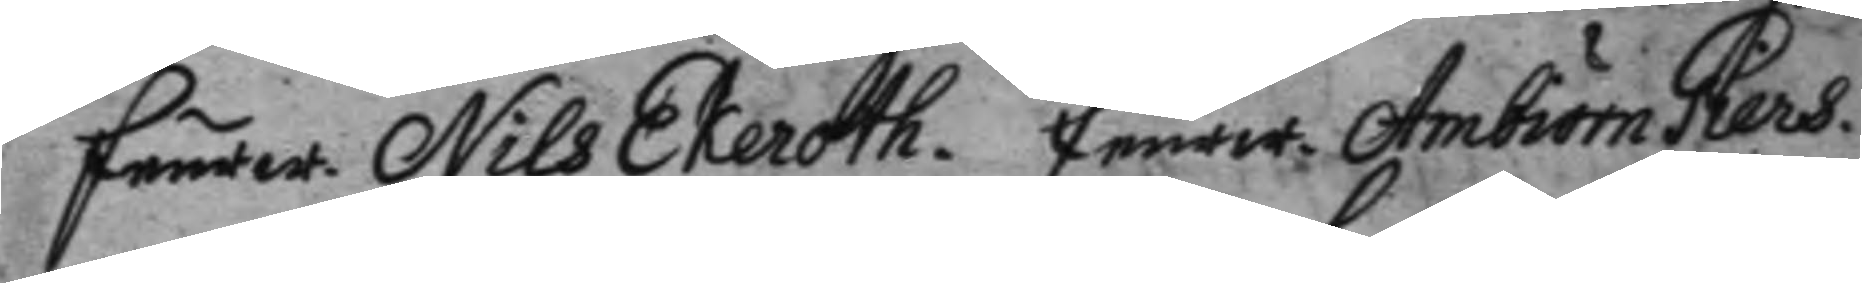feurw. Nils Ekeroth. feurw. Ambiörn Giers.
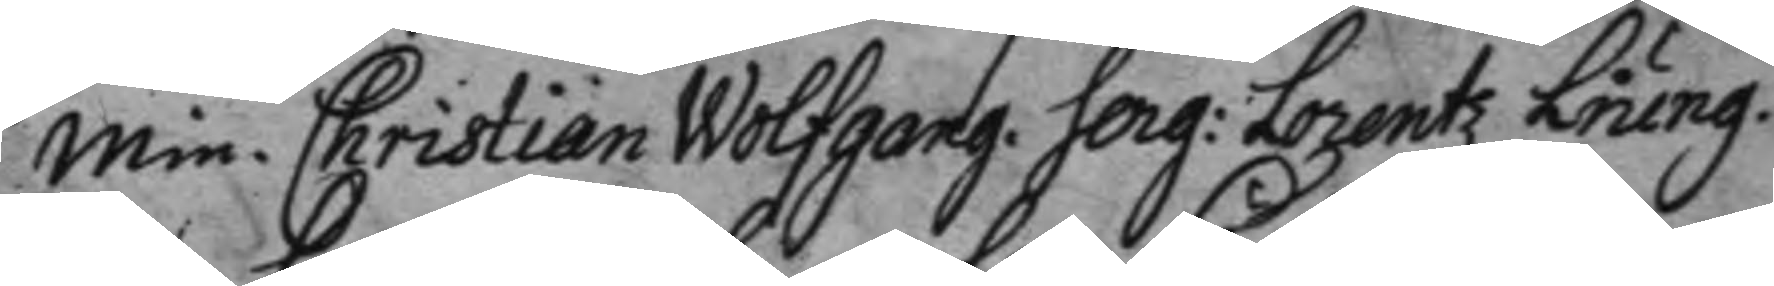min. Christian Wolfgang. Serg. Lorentz Liung.
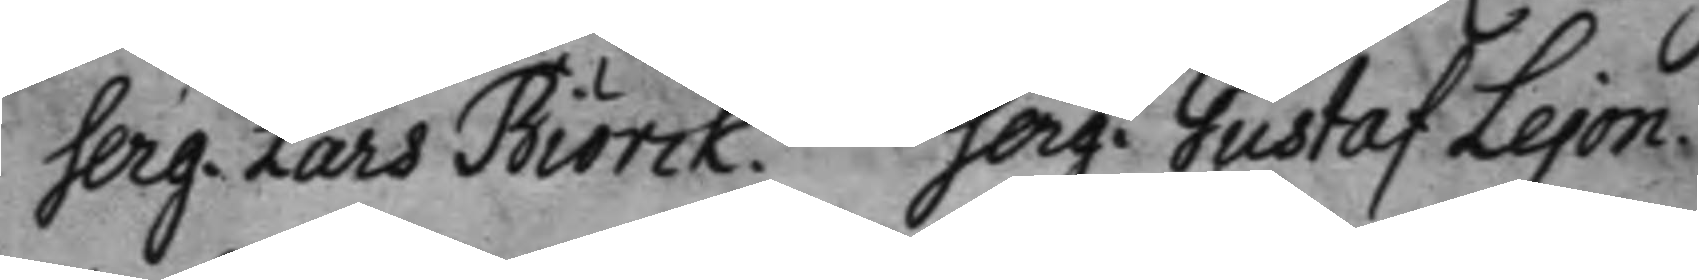Serg. Lars Biörck. Serg. Gustaf Lejon.
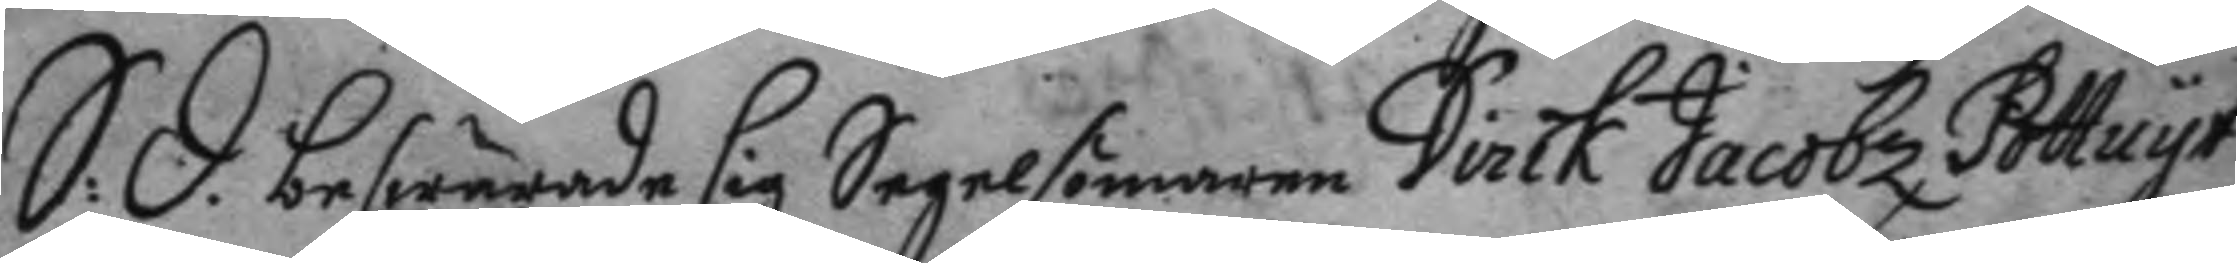S: D: beswärade sig Segelsömaren Dirck Jacobz Pottuyt
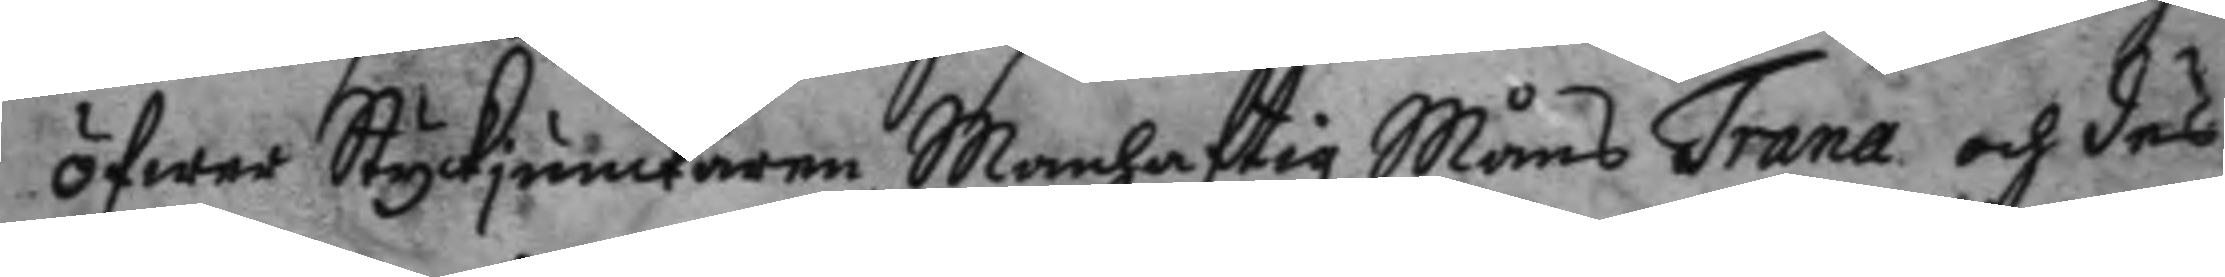öfwer Styckjunckaren Manhaftig Måns Trana och däs
